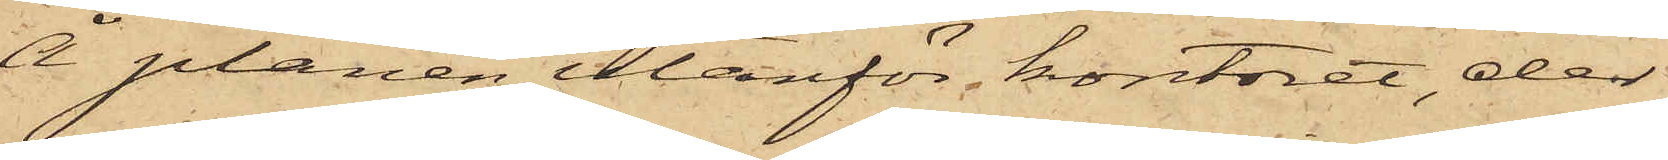Å planen utanför kontoret, der
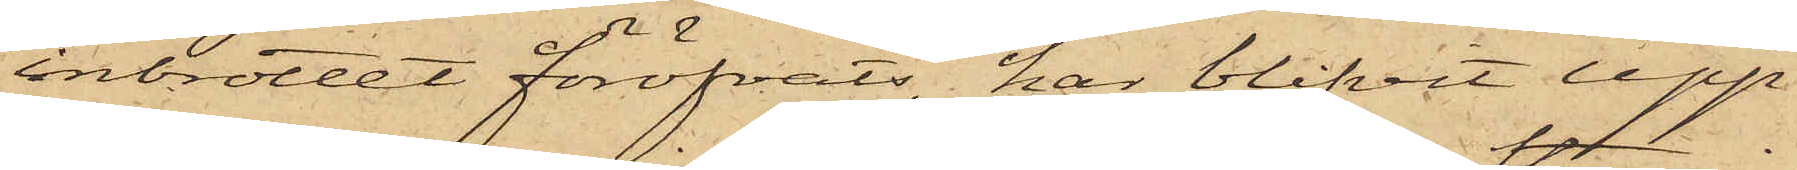inbrottet föröfvats, har blifvit upp¬
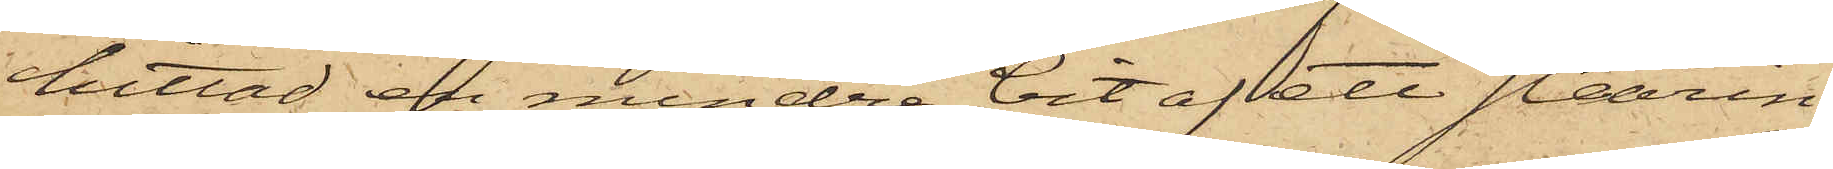hittad en mindre bit af ett stearin¬
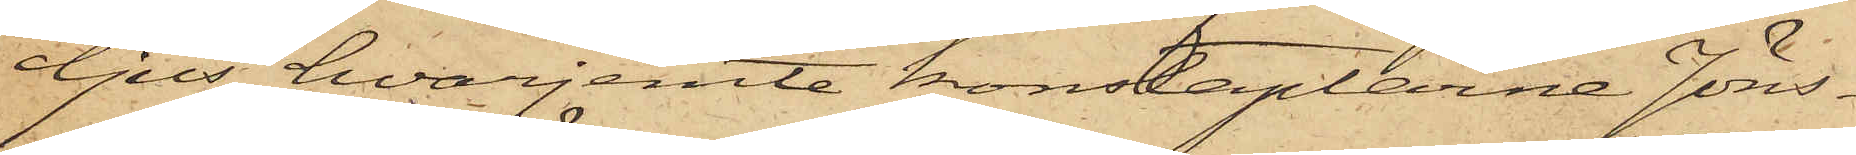ljus, hvarjemte konstaplarne Jöns¬
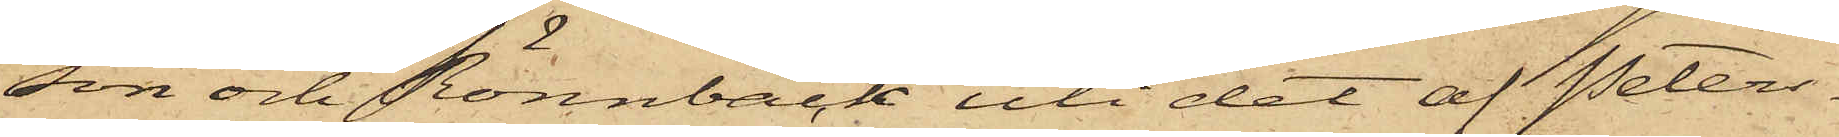son och Rönnbäck uti det af Peters¬
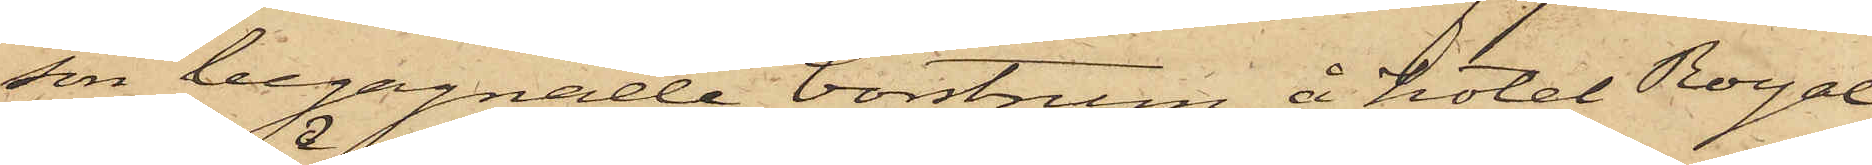son begagnade borstrum å hotel Royal
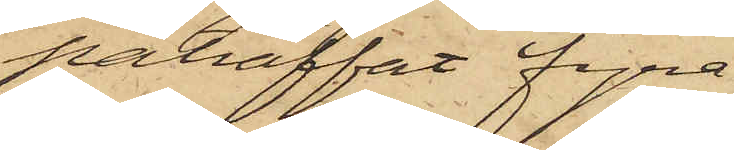påträffat fyra
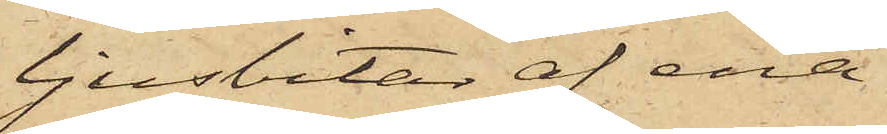ljusbitar af ena¬
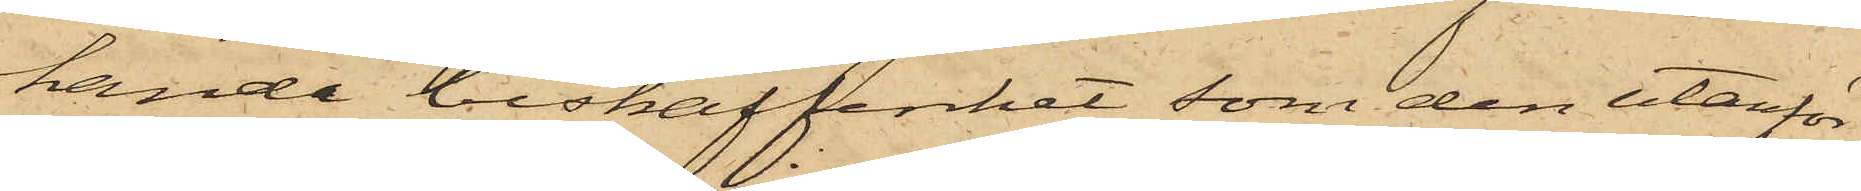handa beskaffenhet som den utanför
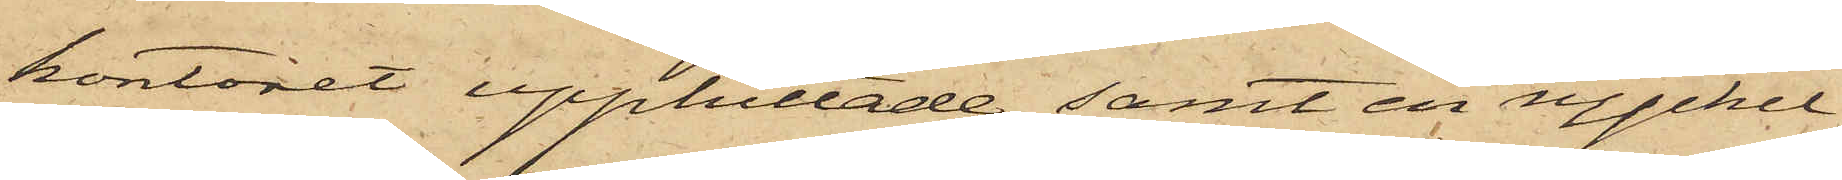kontoret upphittade, samt en nyckel,
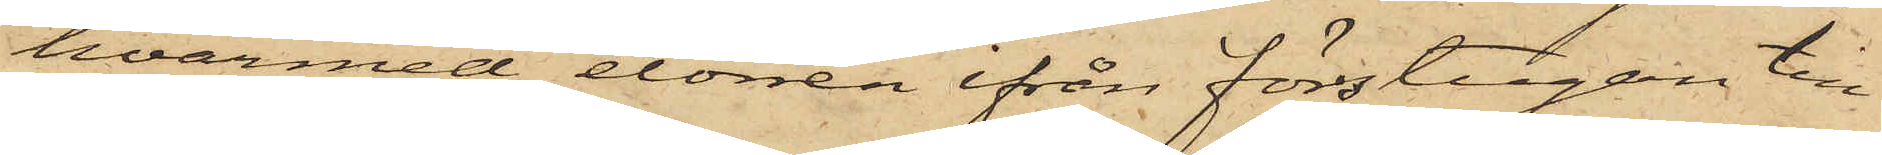hvarmed dörren ifrån förstugan till
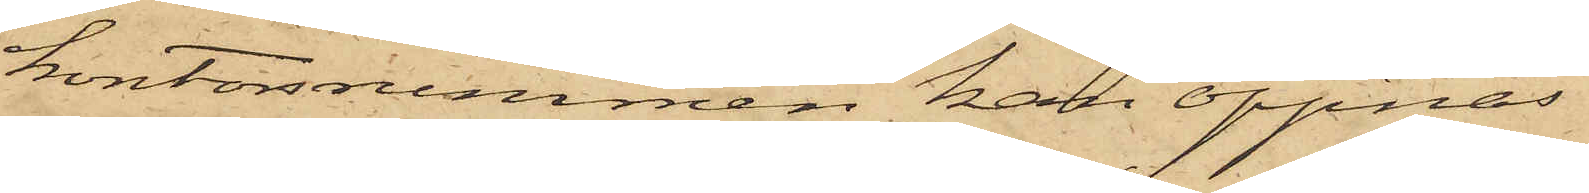kontorsrummen kan öppnas.
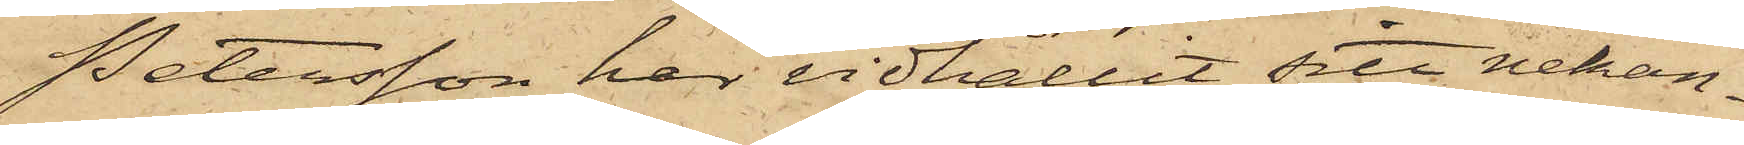Petersson har vidhållit sitt nekan¬
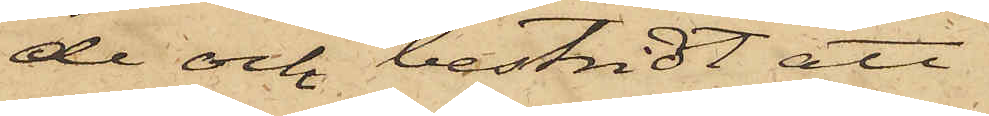de och bestridt att
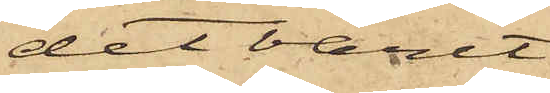det varit
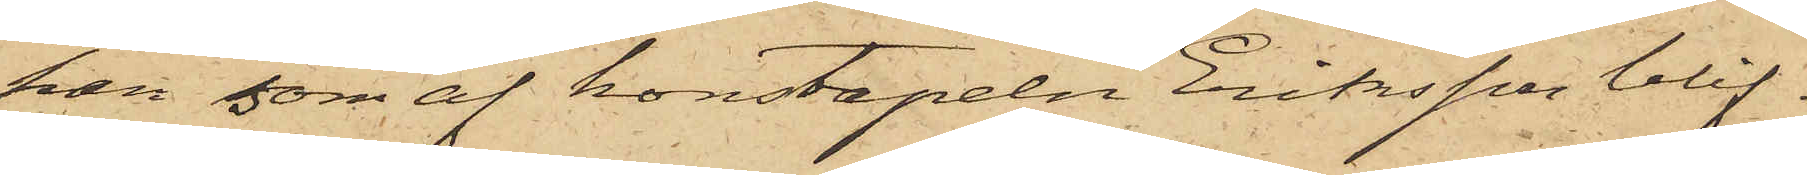han, som af konstapeln Eriksson blif¬
